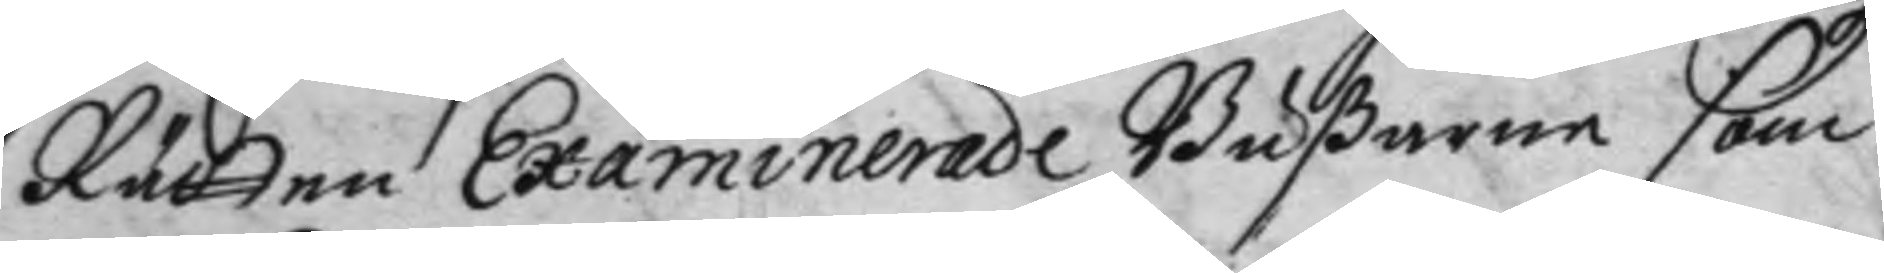Rätten Examinerade Bußaren som
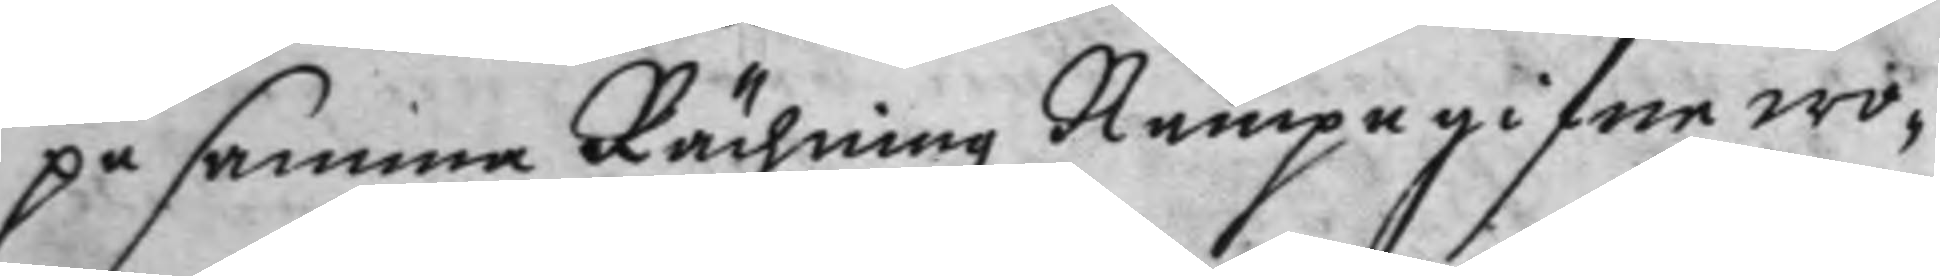på samma Rächning Nampngifne wo¬
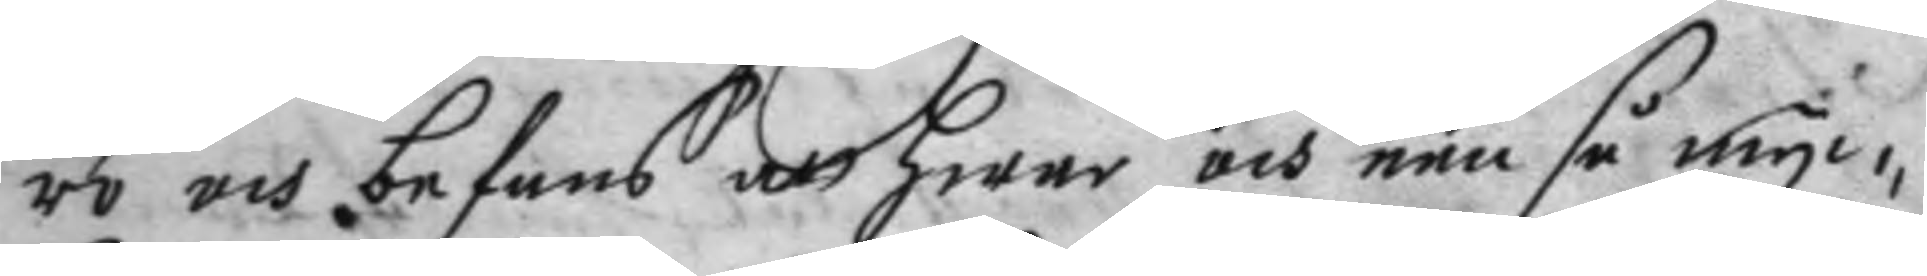ro och befans att hwar och een så myc¬
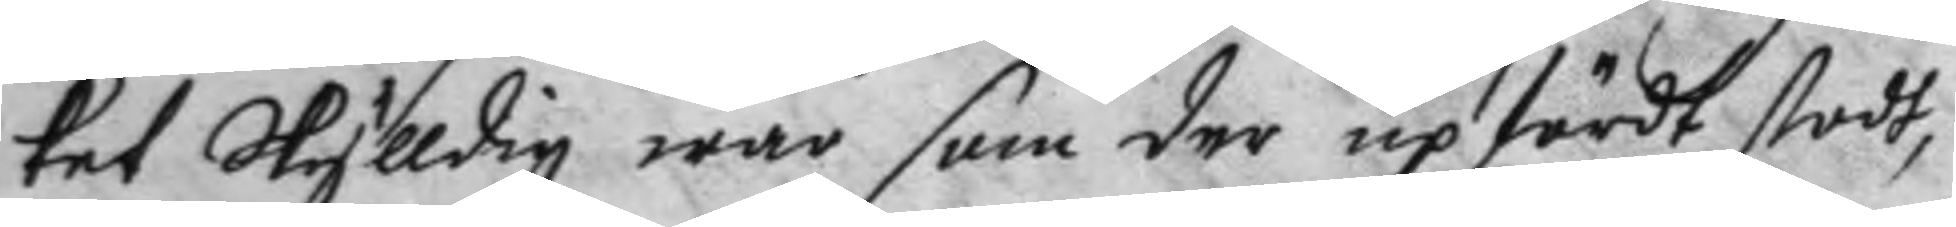ket Skylldig war som der upfördt stodt,
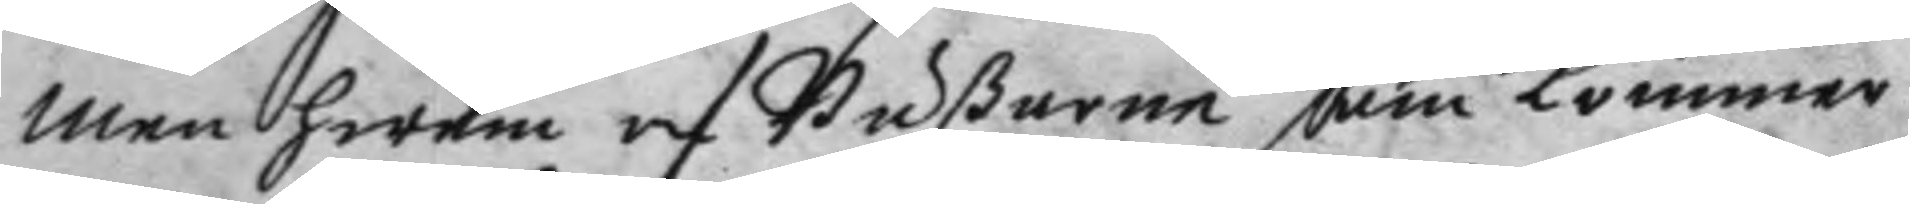men hwem af Bußarne som kommer
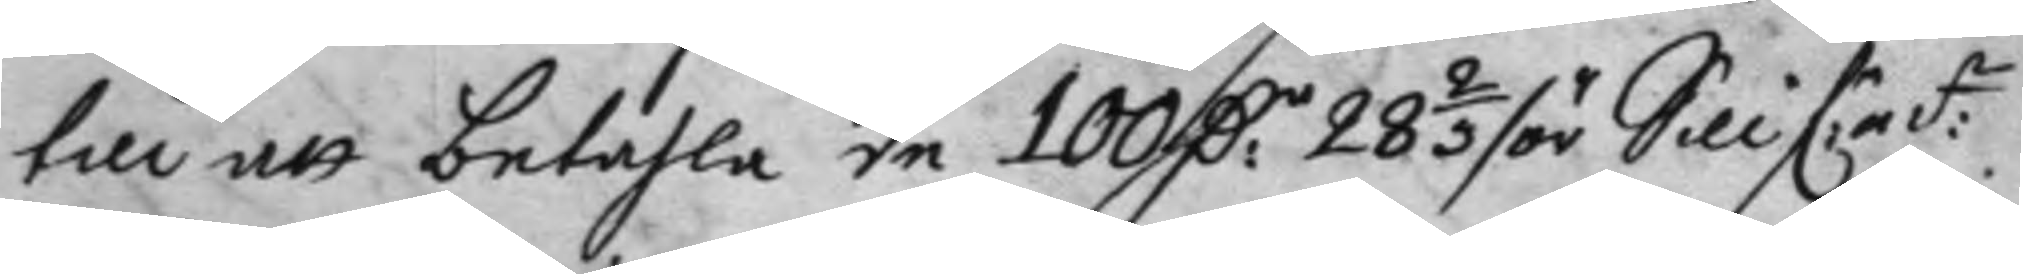till att betahla de 100 D:r 28 2/3 /ör Sillf:r mt:z
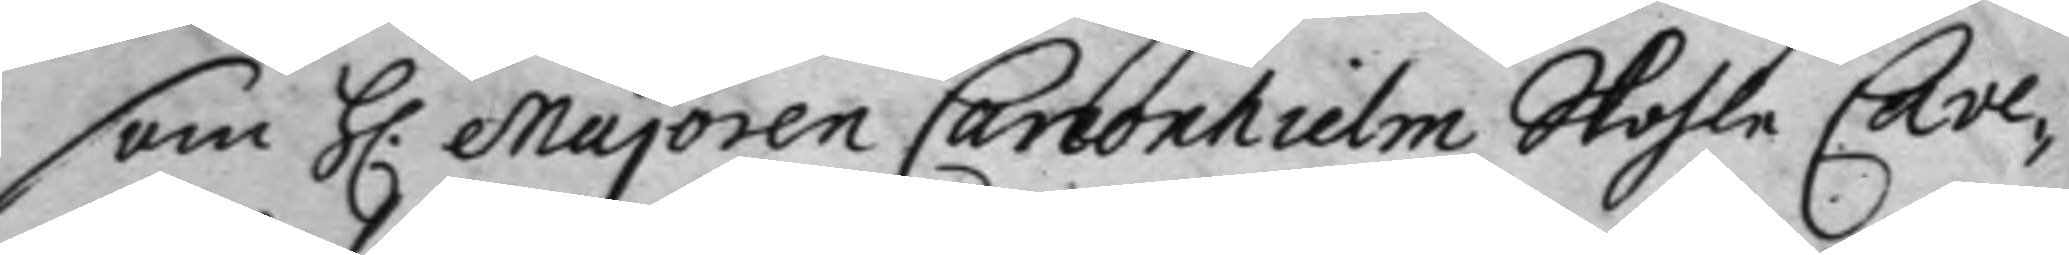som H: majoren Canonhielm Skohla Cave¬
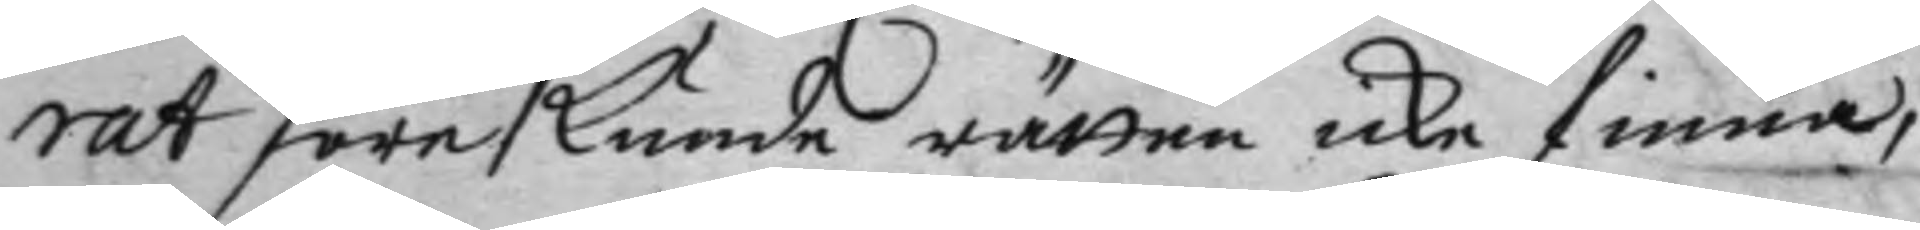rat före kunde rätten icke finna,
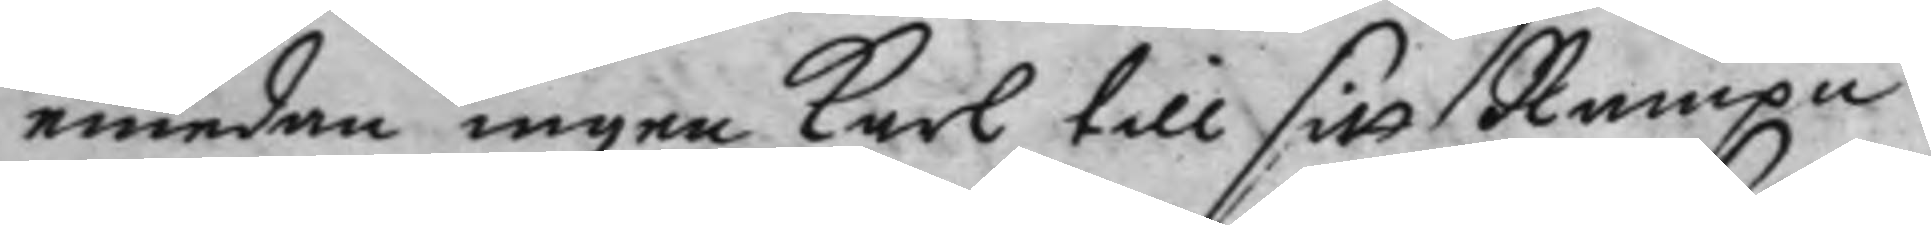emedan ingen karl till sitt Nampn
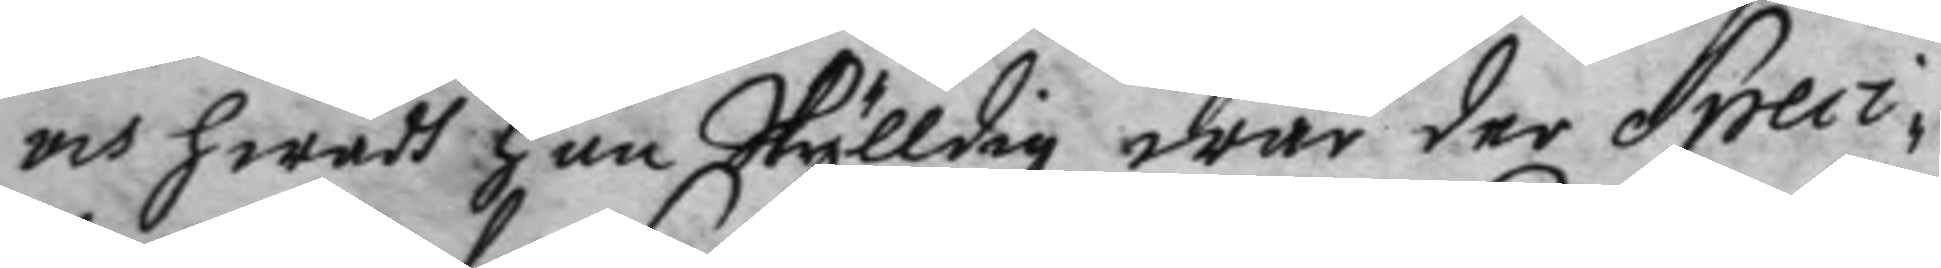och hwadh han skylldig war der Speci¬
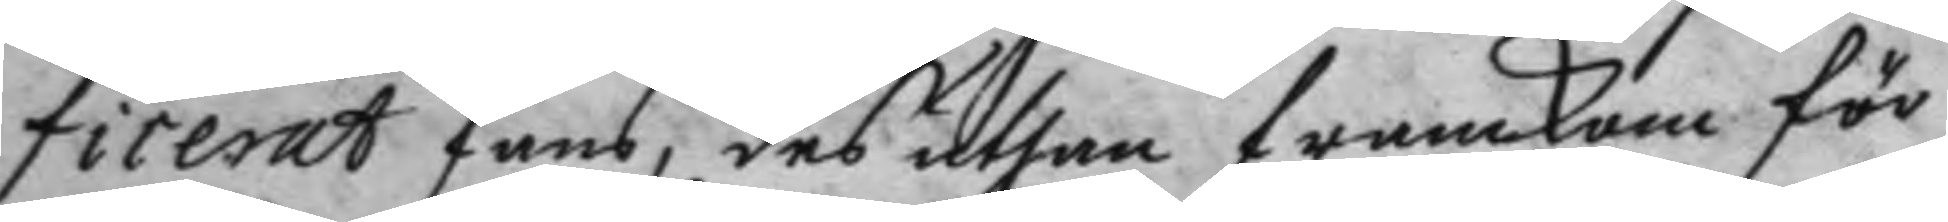ficerat fans, des uthan framkom för
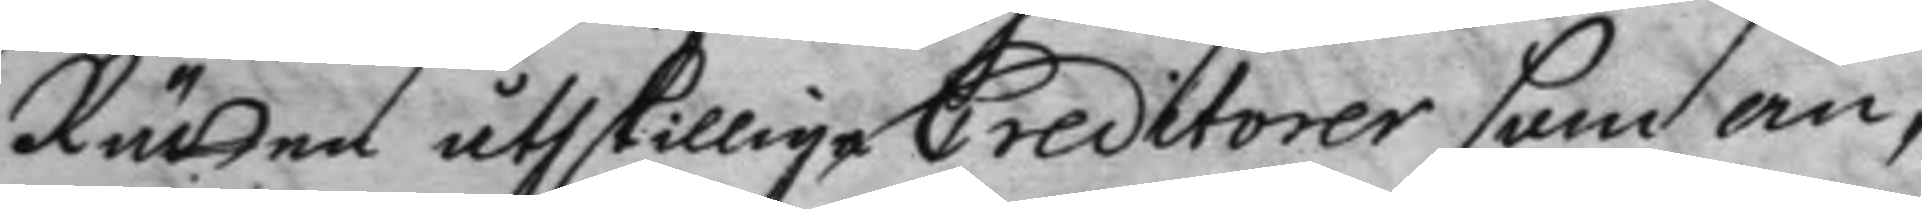Rätten åthskilliga Creditorer som ab¬
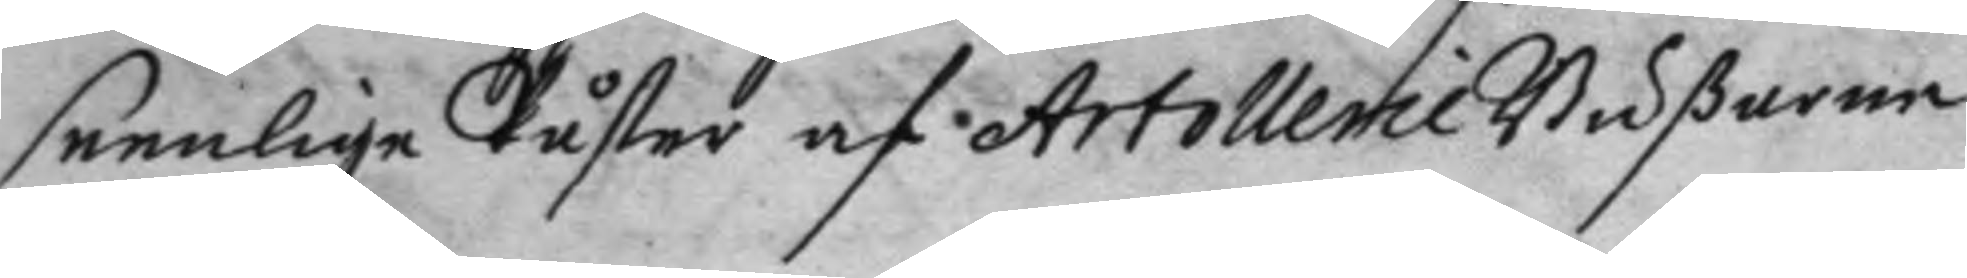seenliga Påster af Artollerie Bußarne
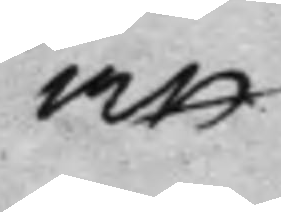att
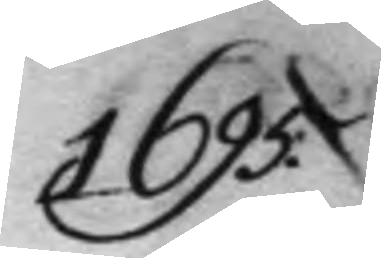1695.
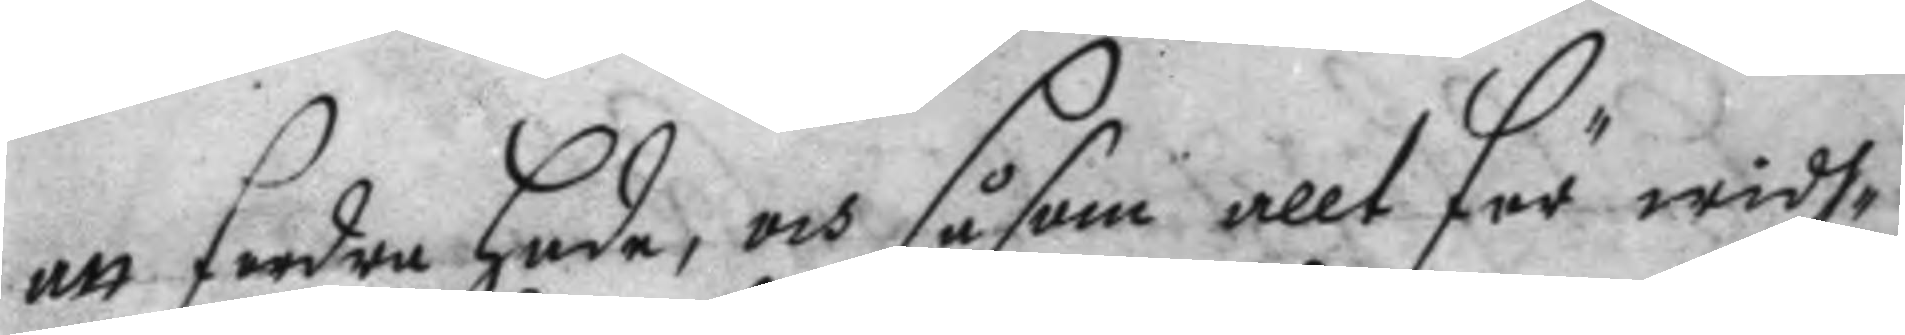att fordra hade, och såsom allt för widh¬
